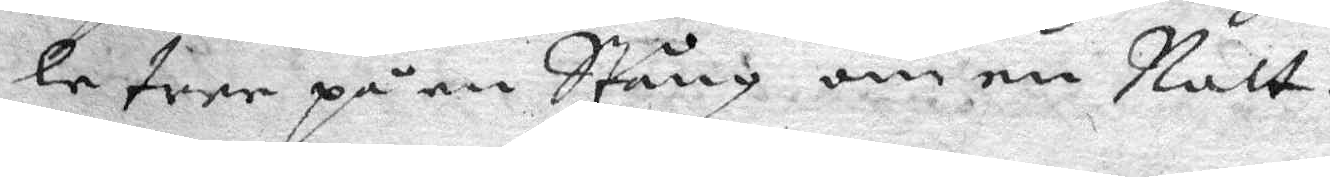le tree på en Stång om en Natt.
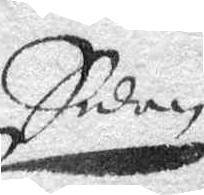Sedan
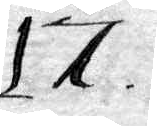17.
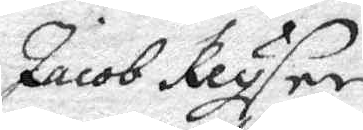Jacob Keyser
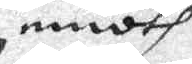emoth
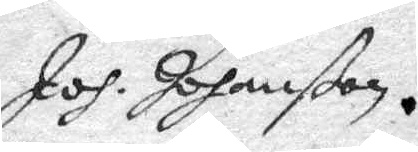Joh. Johanßon.
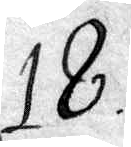18.
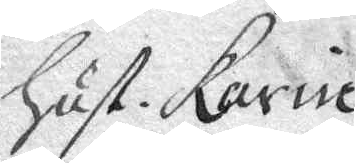Hust. Karin
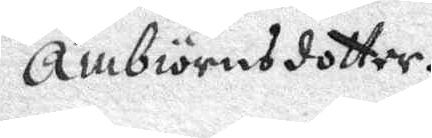Ambiörnsdotter.
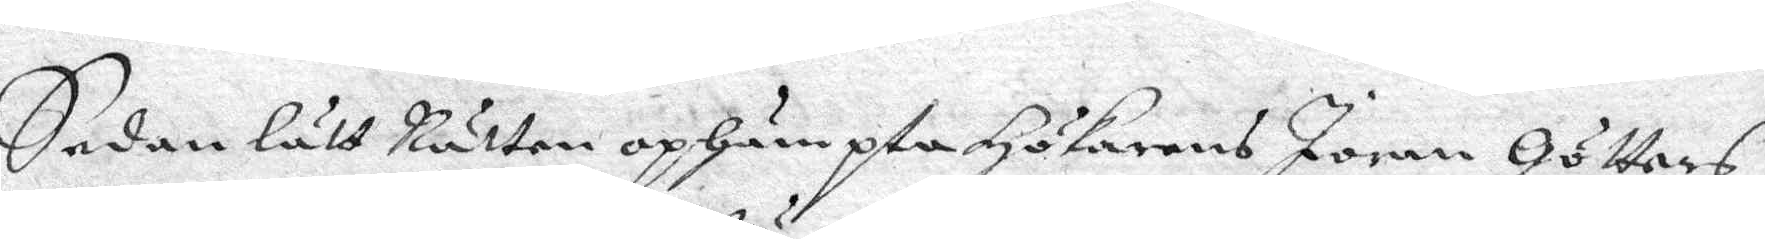Sedan lätt Rätten ophämpta Hökarens Joran Göttars
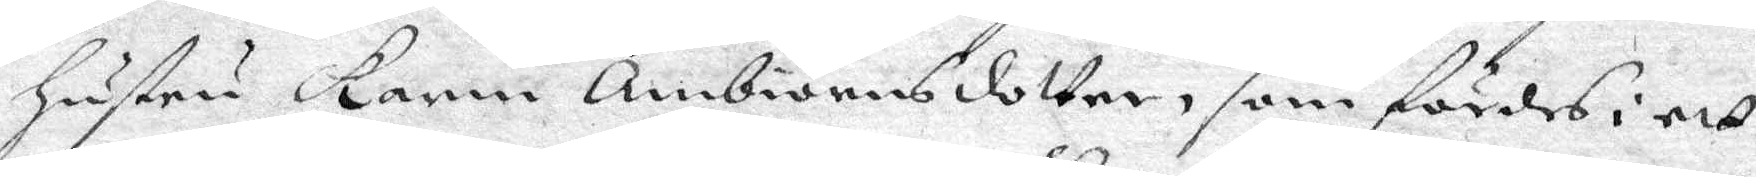Hustru Karin Ambiörnsdotter, som fördes i ett
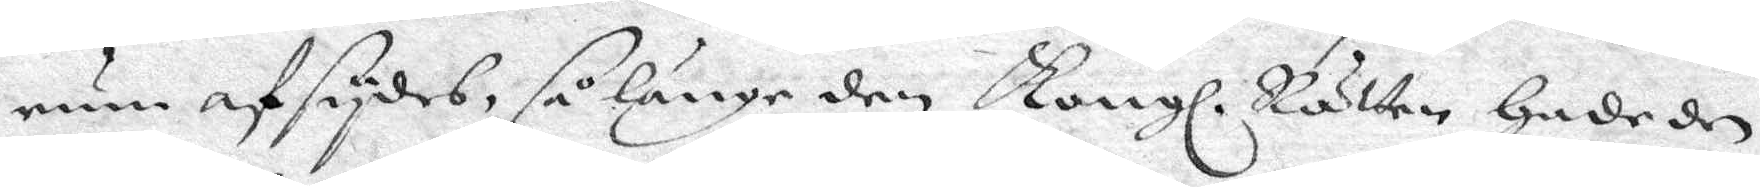rum afsydes, så länge den Kongl. Rätten hade de
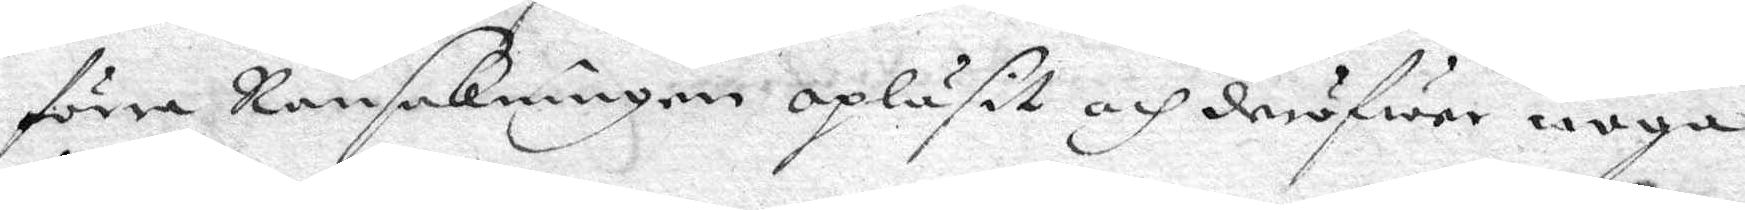förre Ransakningerne opläsit och deröfwer noga
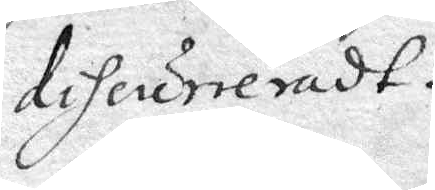diheurreradt.
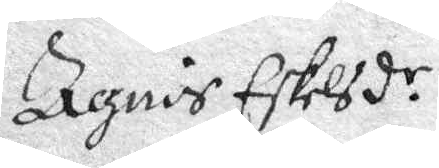Agnis Eskelsd.r
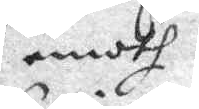emoth
